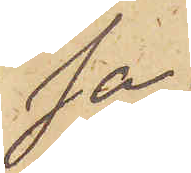sa,
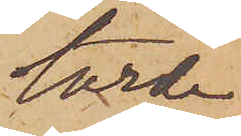torde
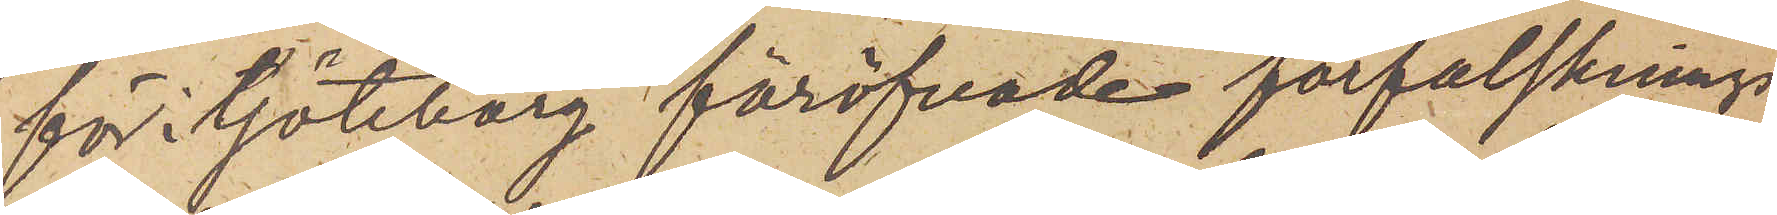för i Göteborg föröfvade förfalsknings¬
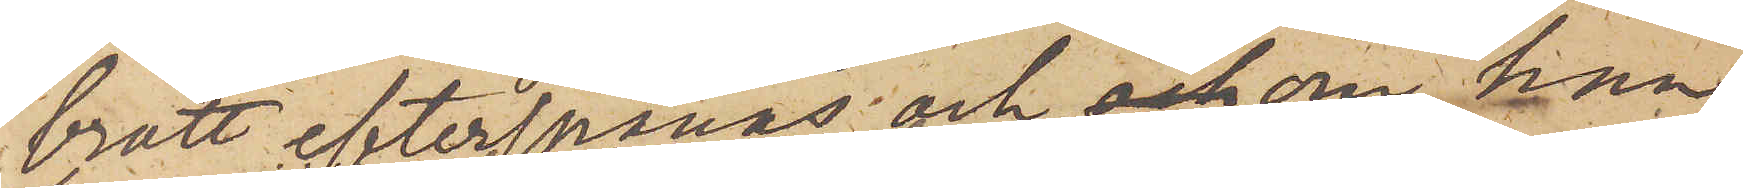brott efterspanas och och om han,
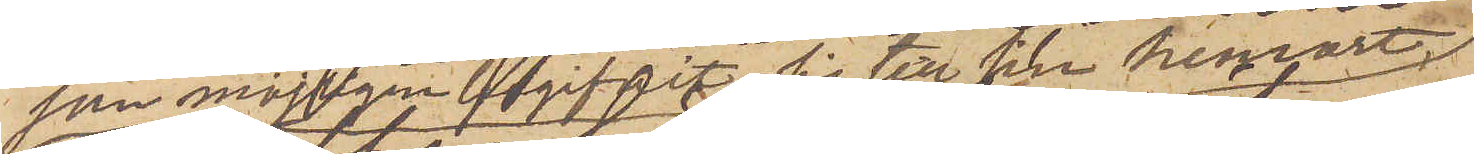som möjligen begifvit sig till sin hemort
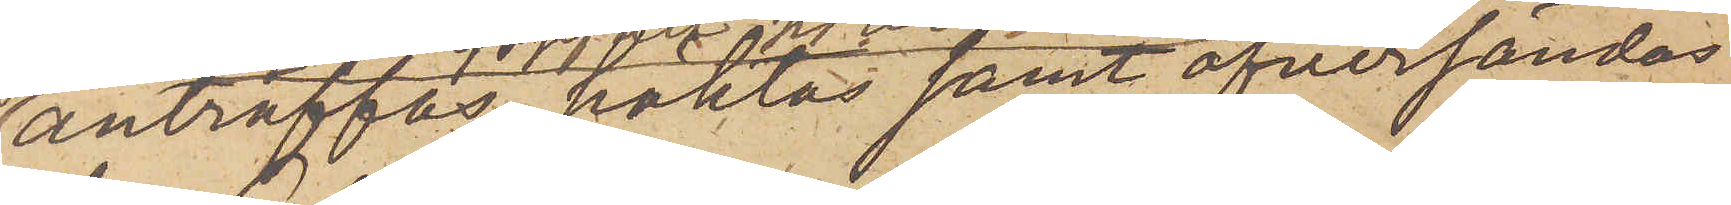anträffas, häktas samt öfversändas
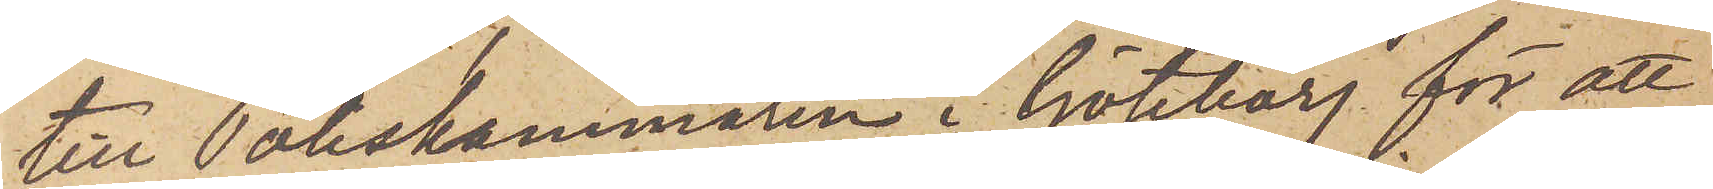till Poliskammaren i Göteborg för att
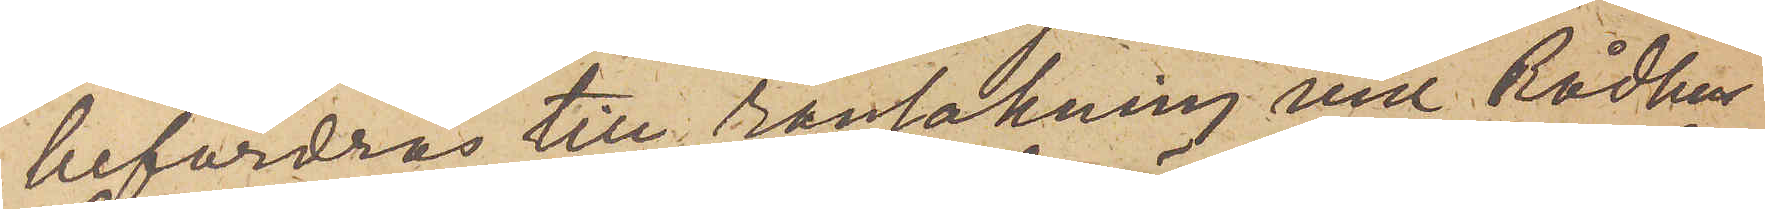befordras till ransakning vid Rådhus¬
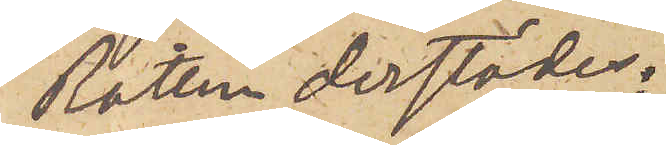Rätten derstädes.
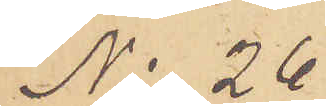No 26
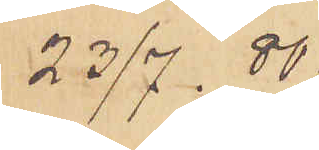23/7. 80.
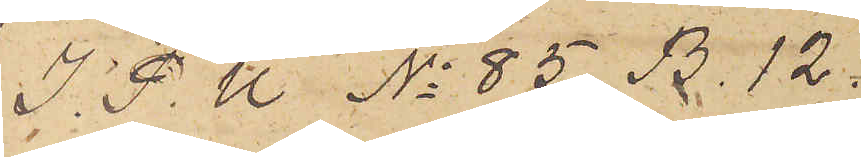I. P. U  No 85 B. 12.
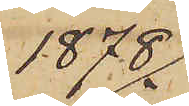1878.
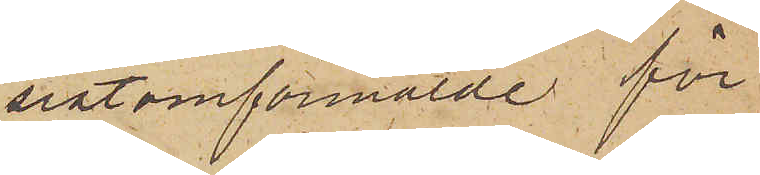sistomförmälde för
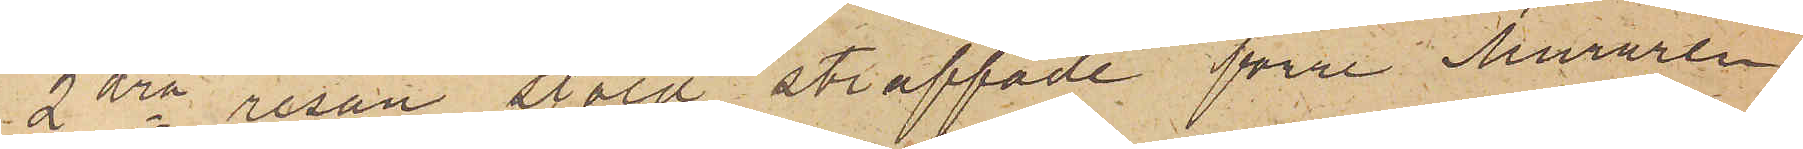2dra resan stöld straffade förre Muraren
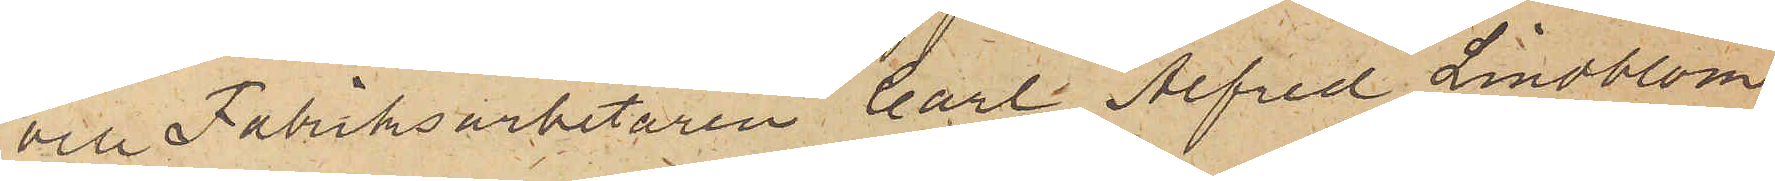och Fabriksarbetaren Carl Alfred Lindblom
